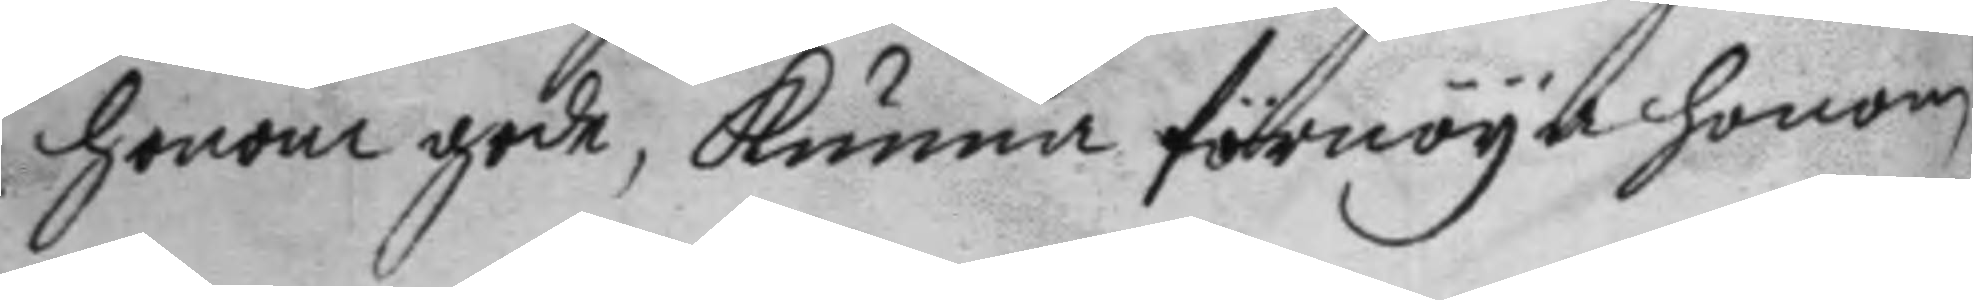honom gode, kunna förnöya honom
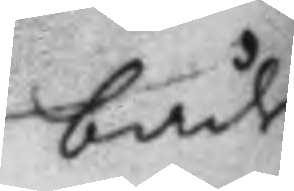både
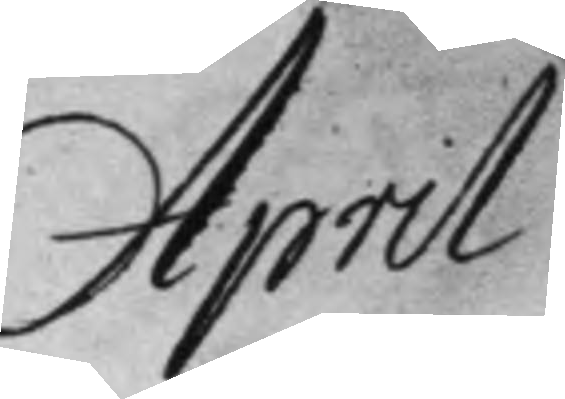April
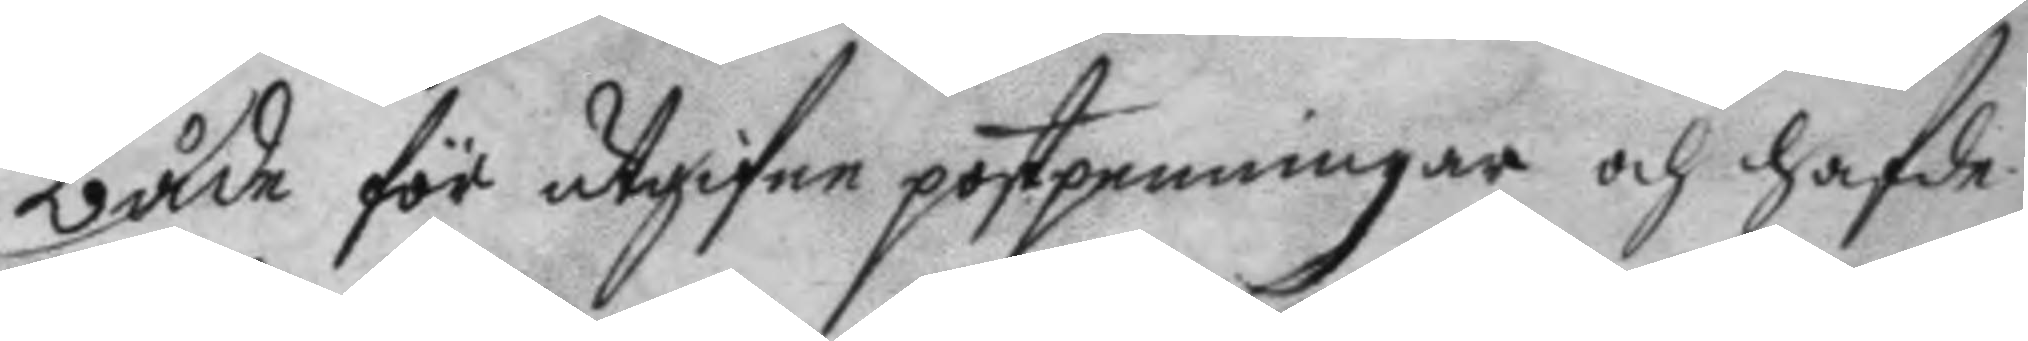både för utgifne postpenningar och hafde
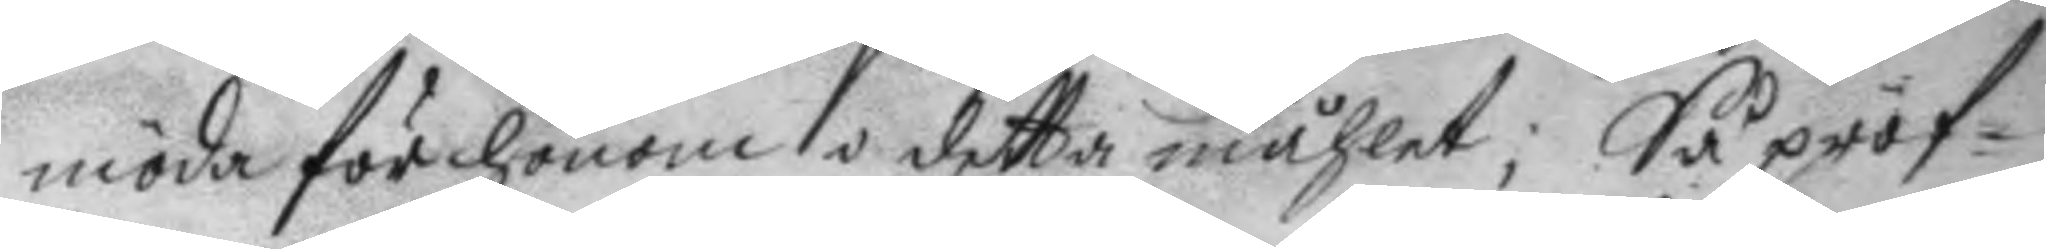möda för honom i detta måhlet; Så pröf¬
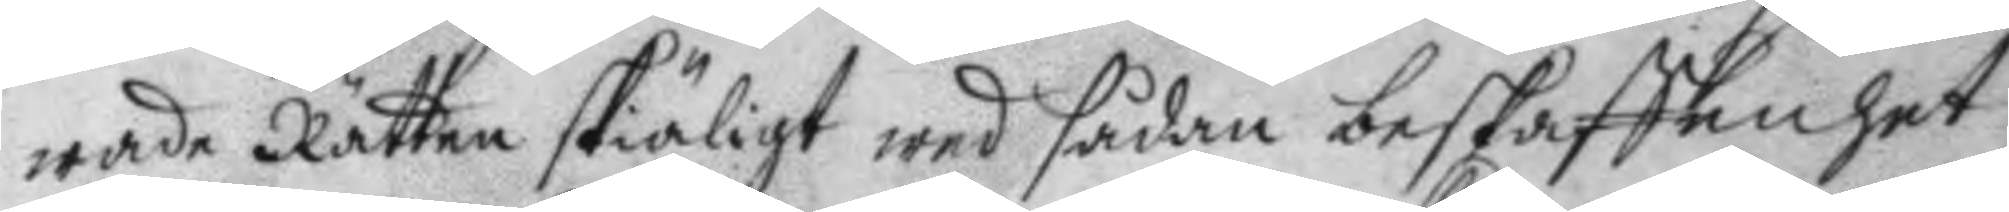wade Rätten skiäligt wed sådan beskaffenhet
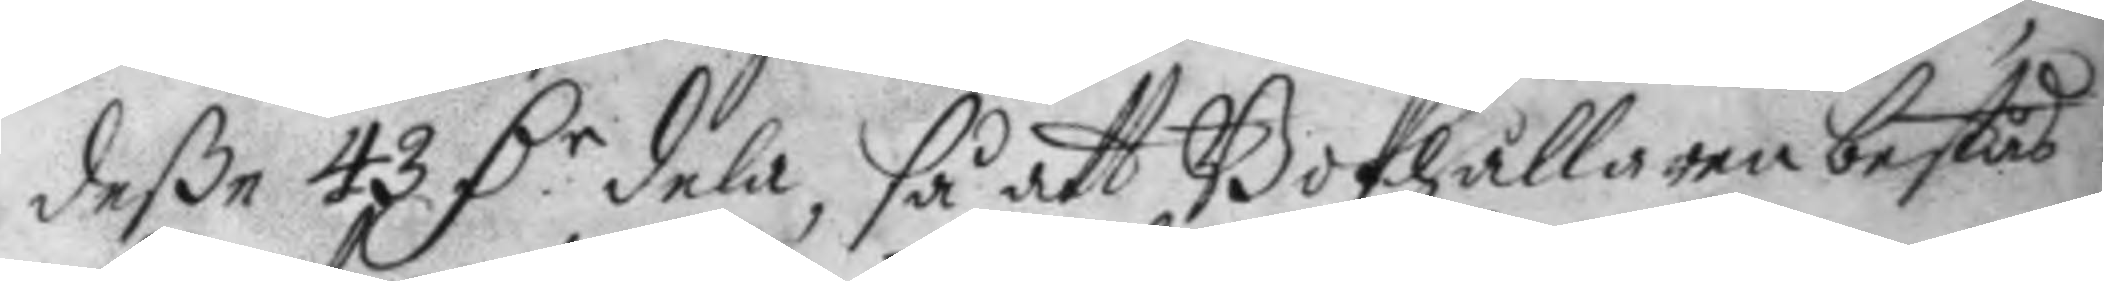deße 43 D.r dela, så att Bokhållaren bestås
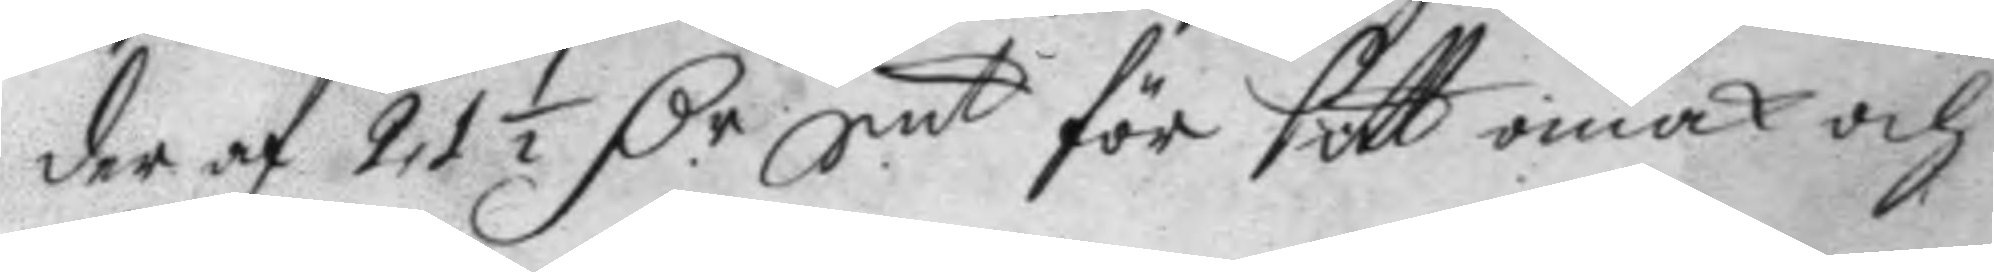der af 21½ D.r Smt för sitt omak och
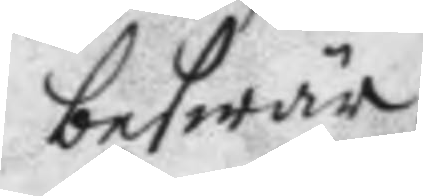beswär.
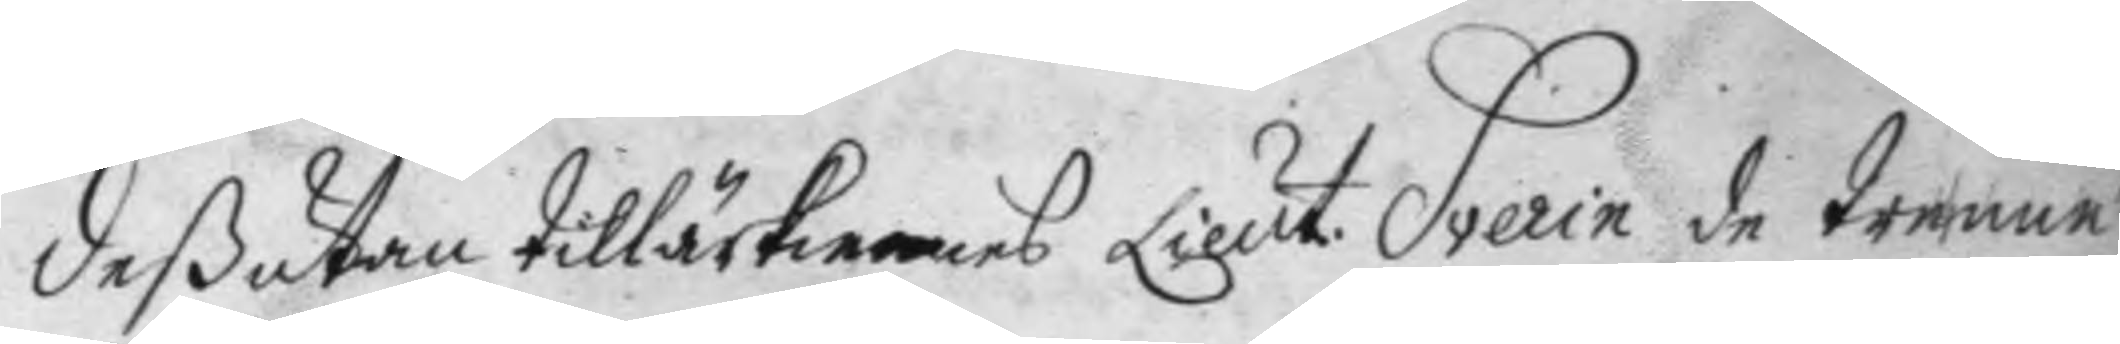deßutan tillärkennes Lieut. Sverin de trenne
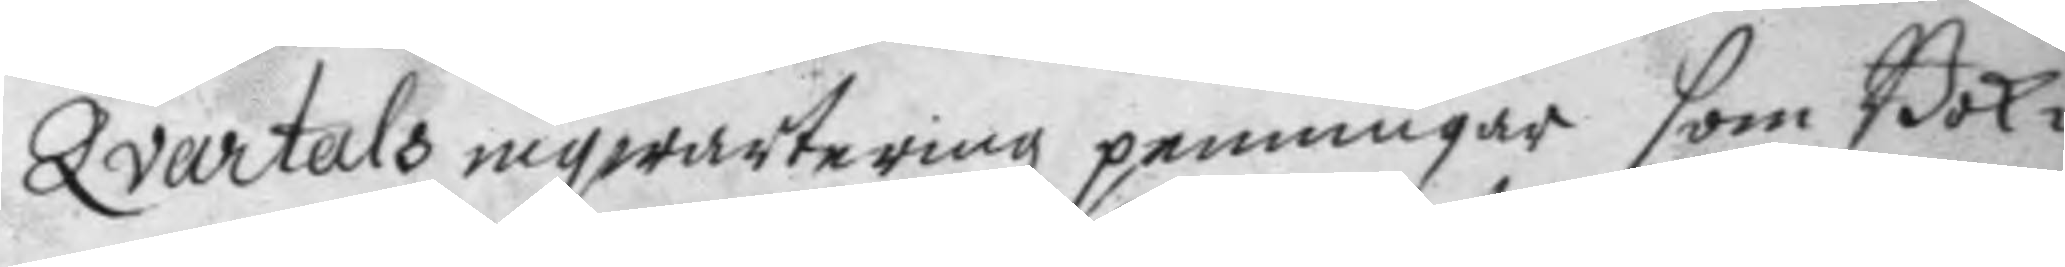Qvartals inqwarteringz penninar som Bok¬
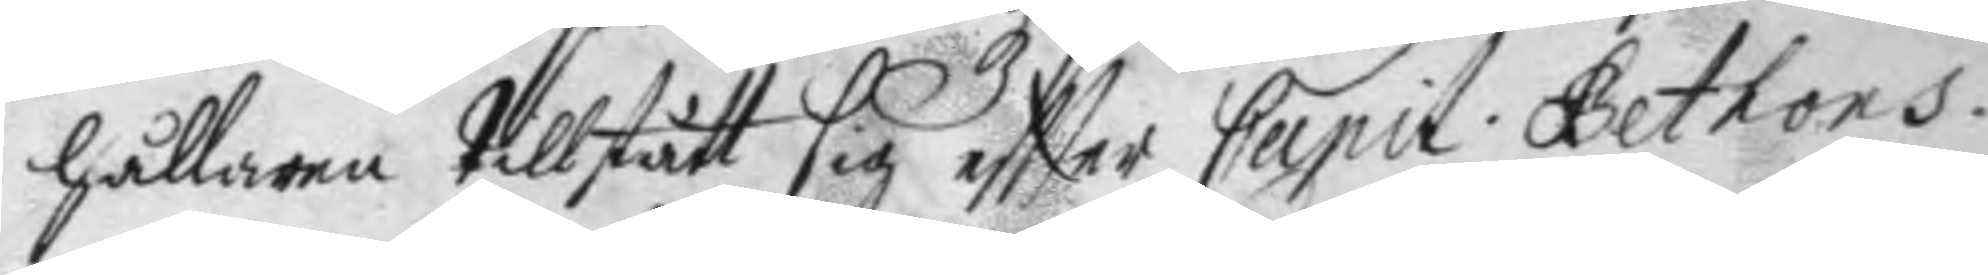hållaren tillstårr sig eftter Capit. Gethors
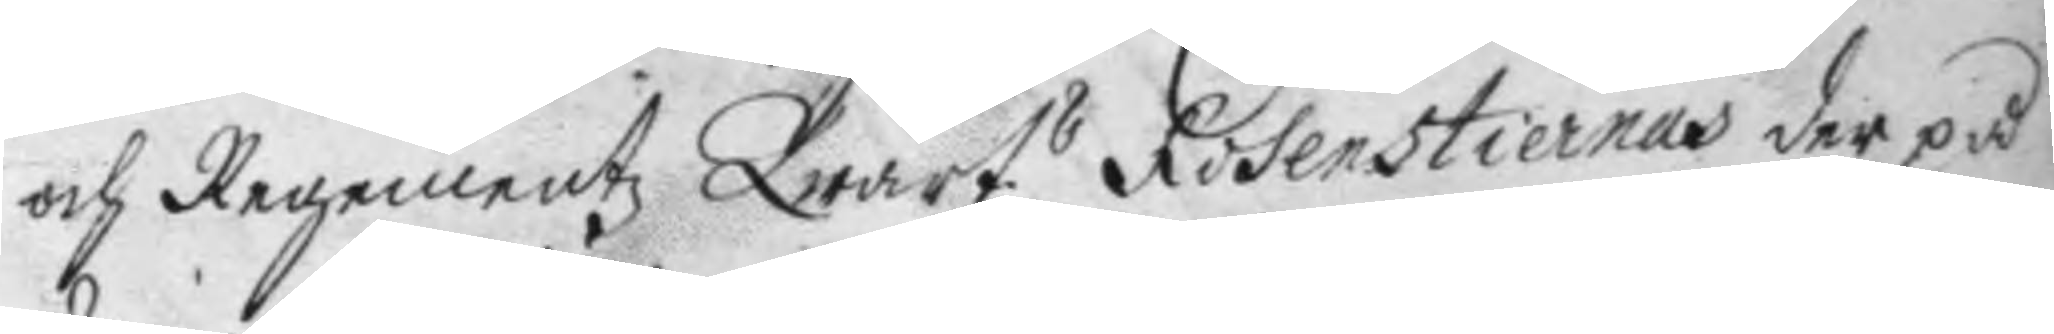och Regementz Qwart.s Rosenstiernas der på
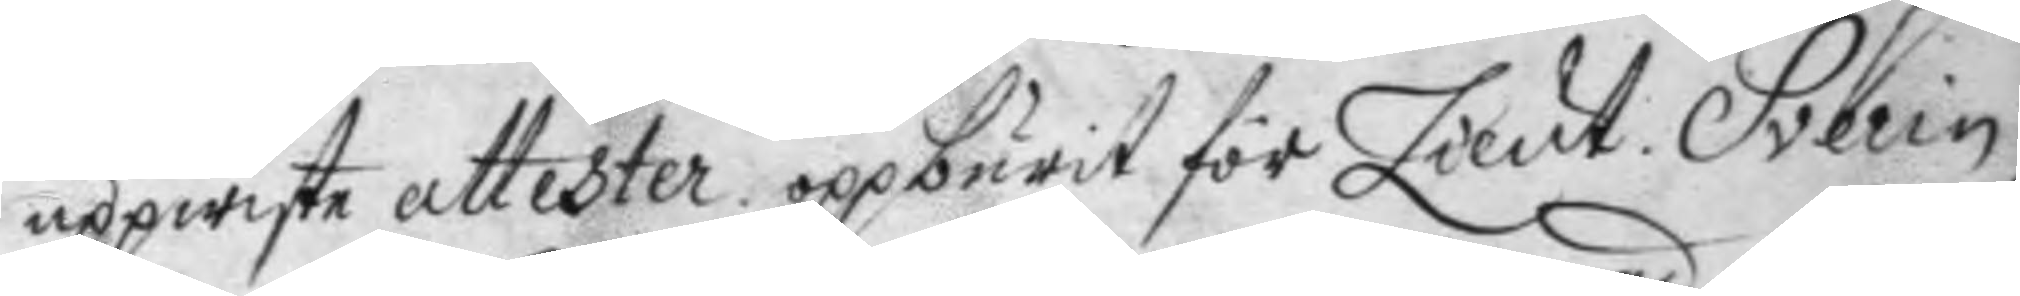uppwiste attester opburit för Lieut. Sverin
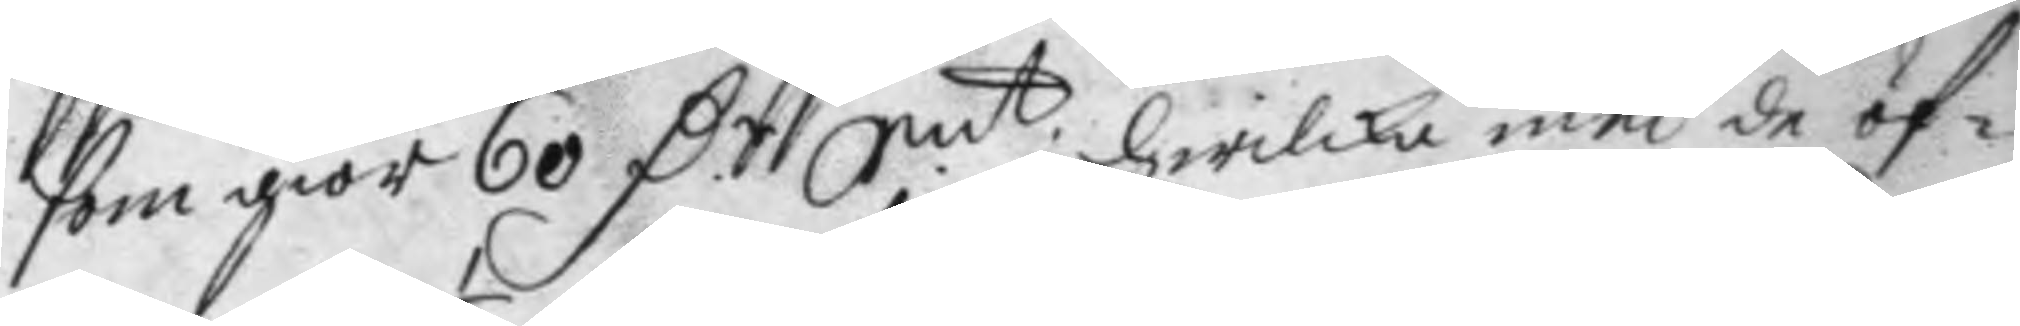som giör 60 D.r Smt. hwilka med de öf¬
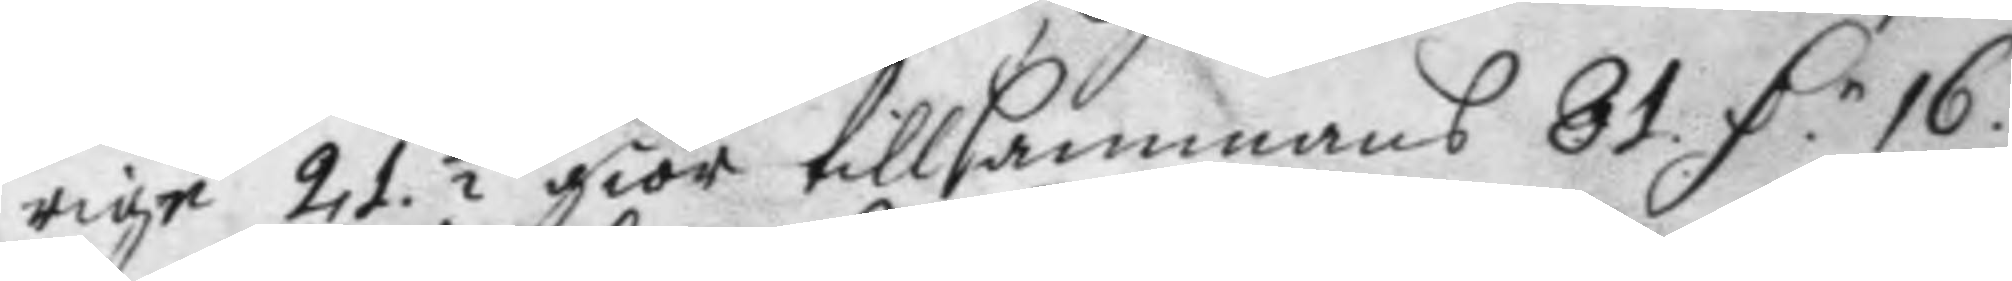rige 21½ giör tillsammans 81 D.r 16.
